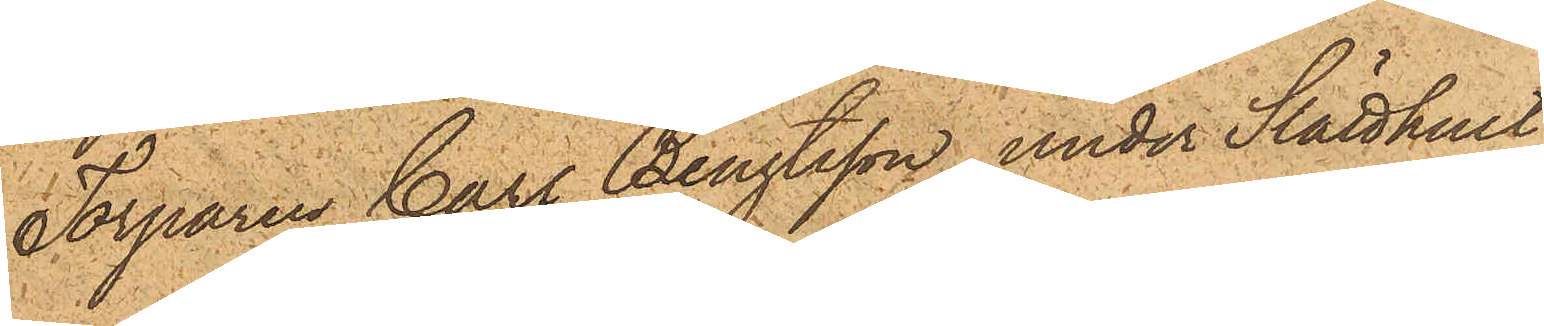Torparen Carl Bengtsson under Slätthult
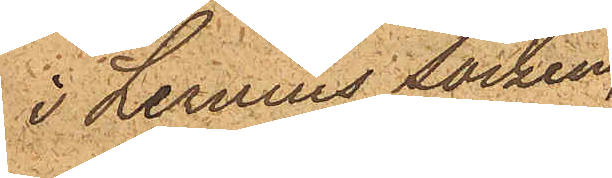i Lerums socken,
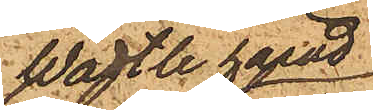Wättle härad,
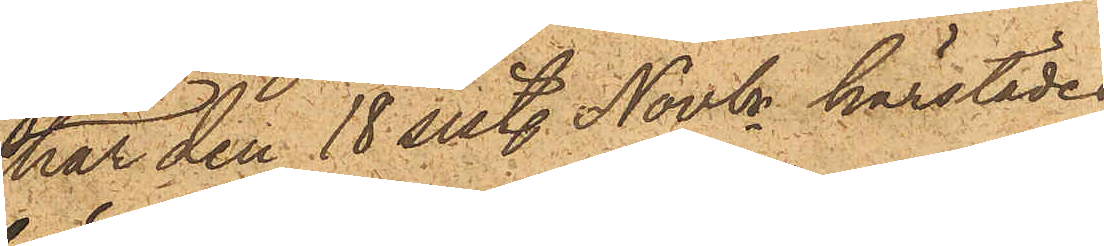har den 18 sist. Novbr härstädes
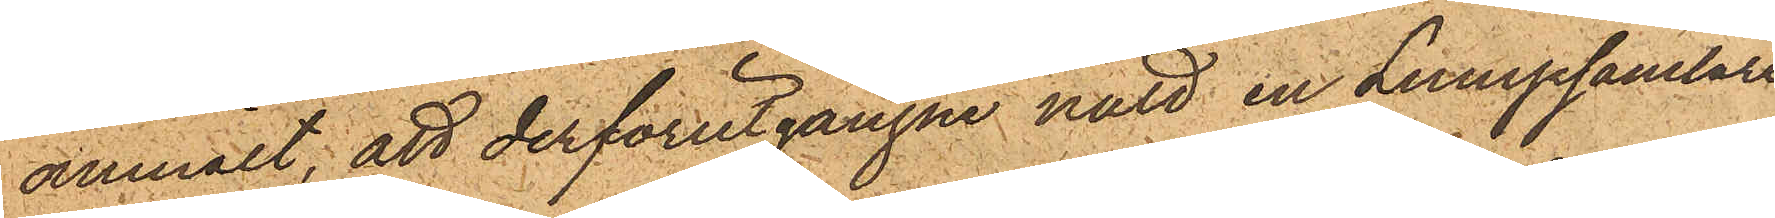anmält, att derförutgångne natt en Lumpsamlare,
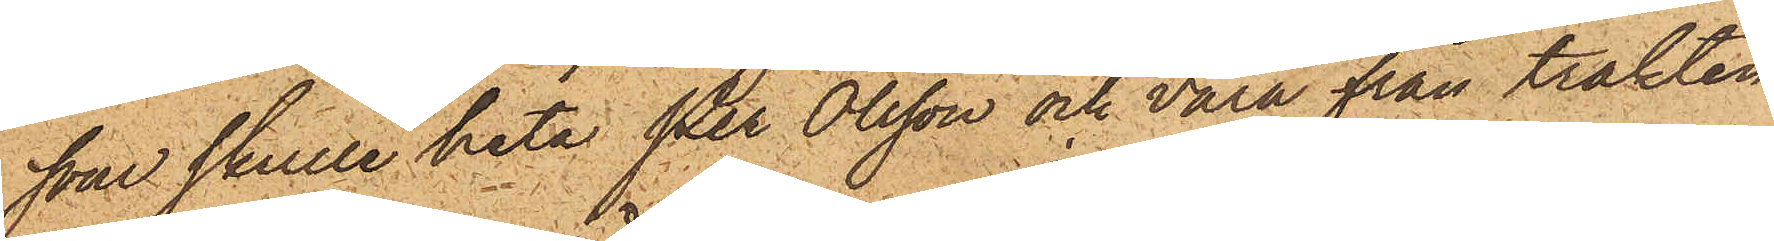som skulle heta Per Olsson och vara från trakten
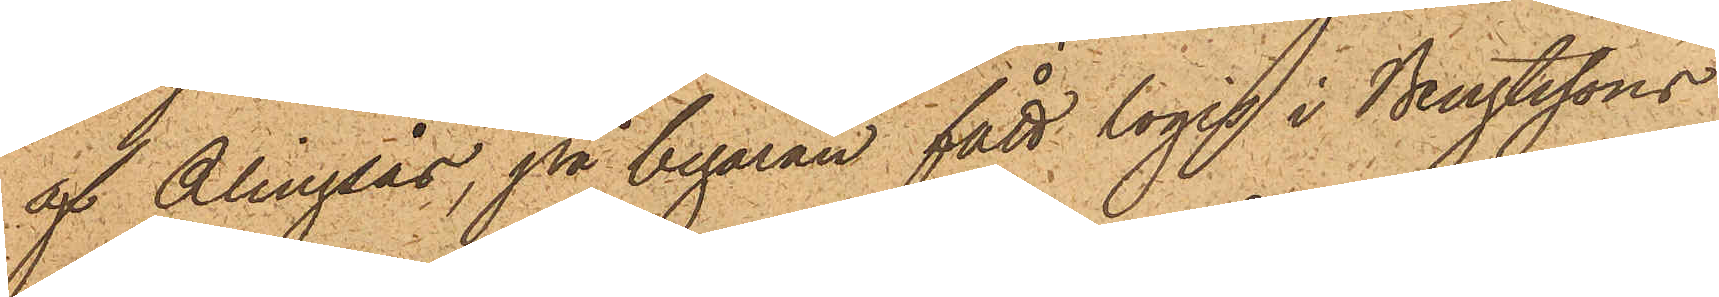af Alingsås, på begäran fått logis i Bengtssons
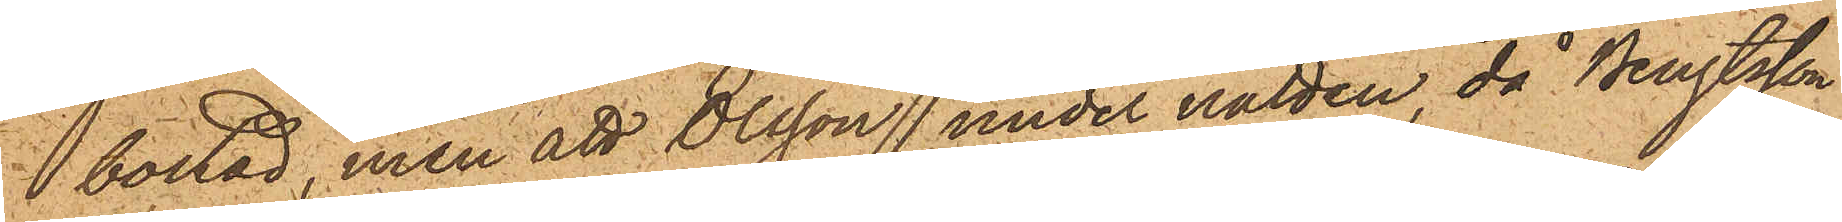bostad, men att Olsson under natten, då Bengtsson
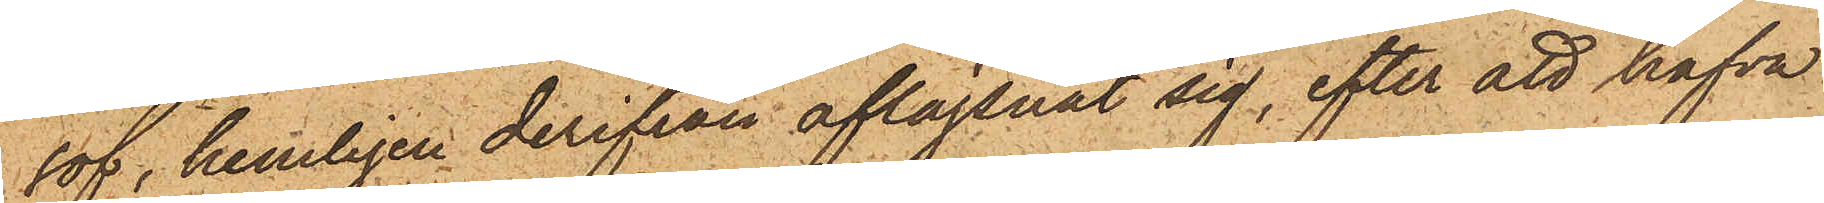sof, hemligen derifrån aflägsnat sig, efter att hafva
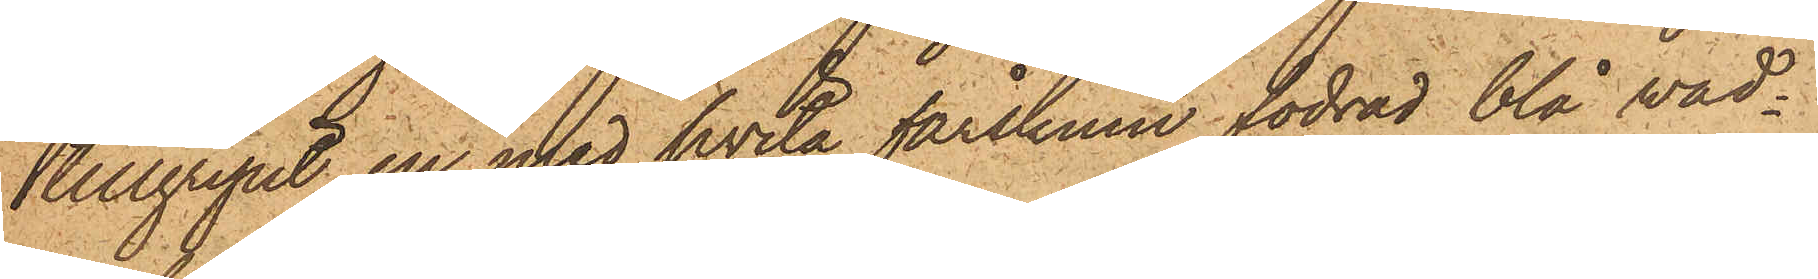tillgripit en med hvita fårskinn fodrad blå vad¬
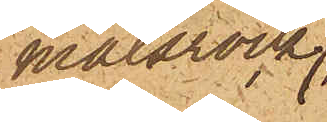malsrock
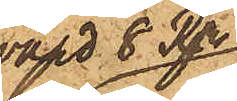värd 8 Rdr,
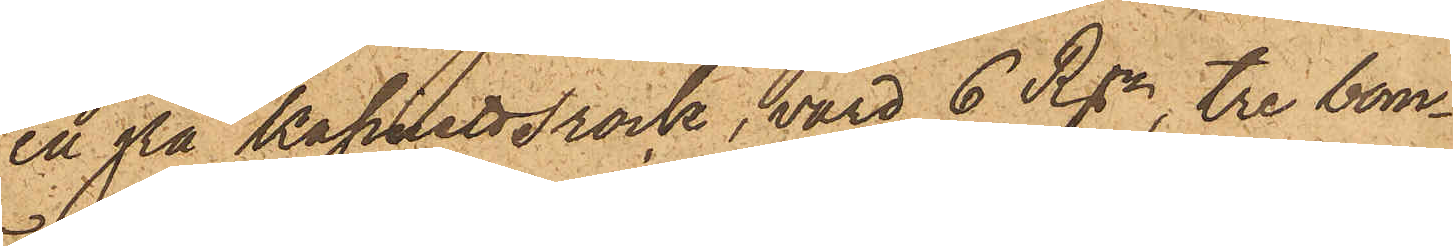en grå kassinettsrock, värd 6 Rdr, tre bom¬
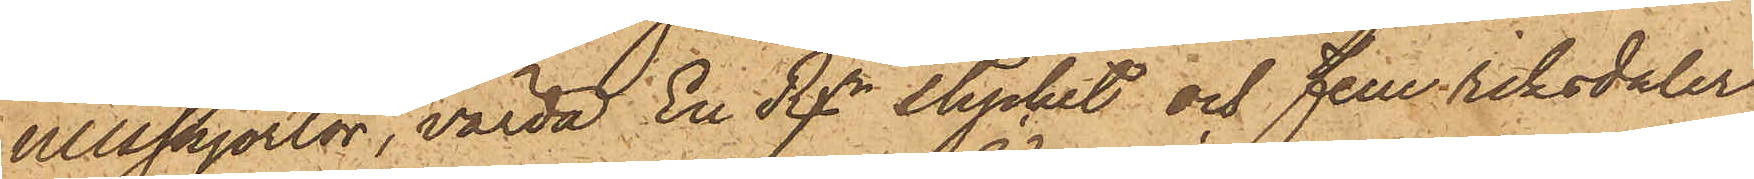ullsskjortor, värda En Rdr stycket och fem riksdaler
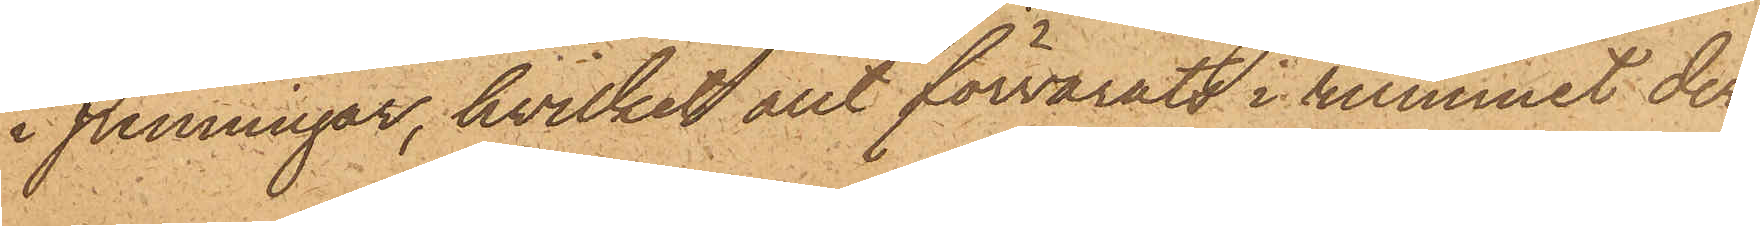i penningar, hvilket allt förvarats i rummet der
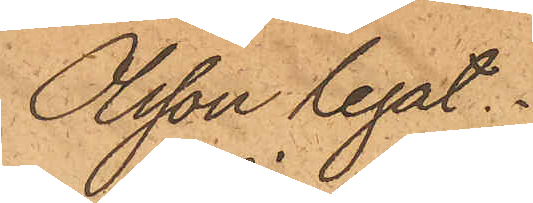Olsson legat.
